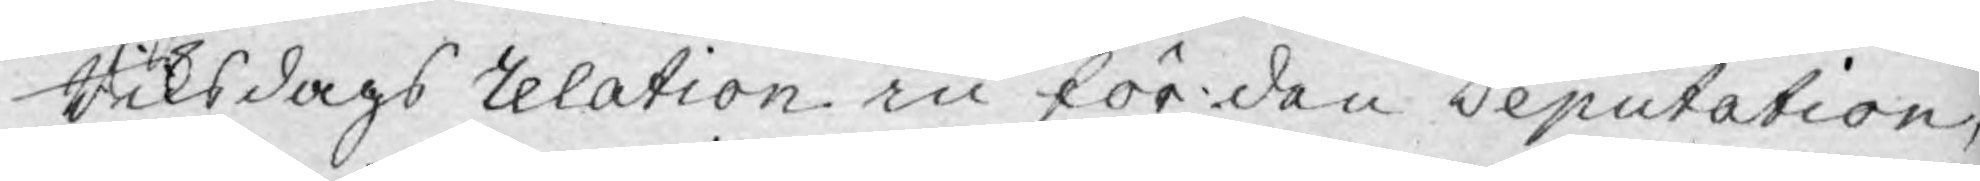Riksdags relation in för den Deputation,
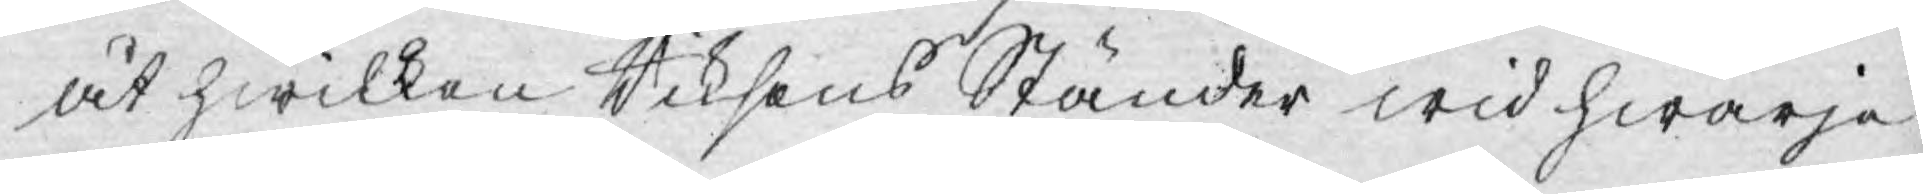åt hwilken Riksens Ständer wid hwarje
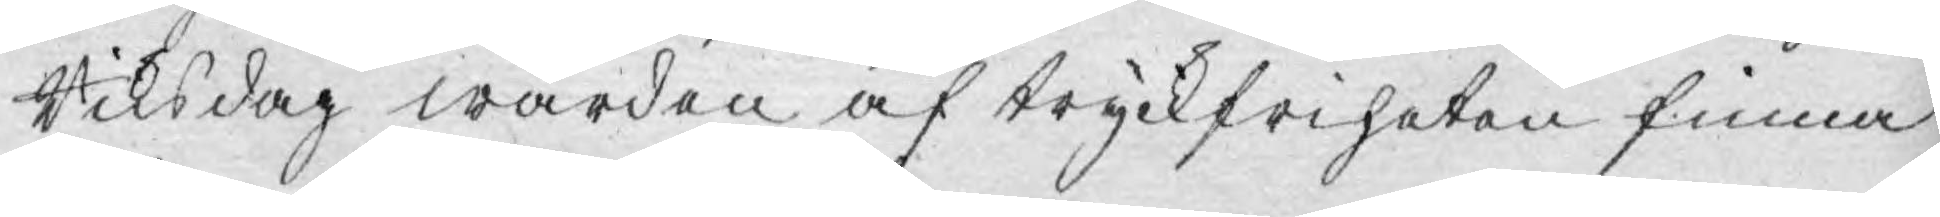Riksdag wården af tryckfriheten finna
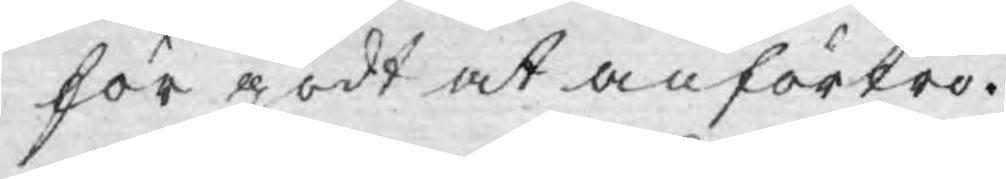för godt at anförtro.
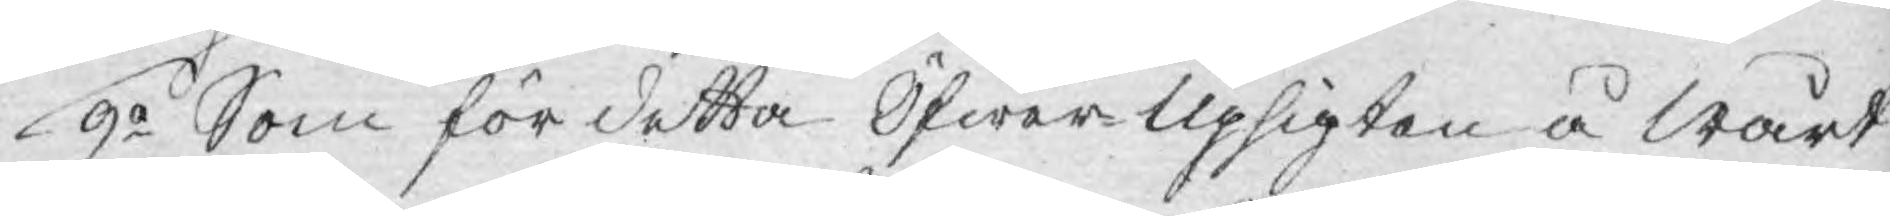9o Som för detta Öfwer Upsigten å wårt
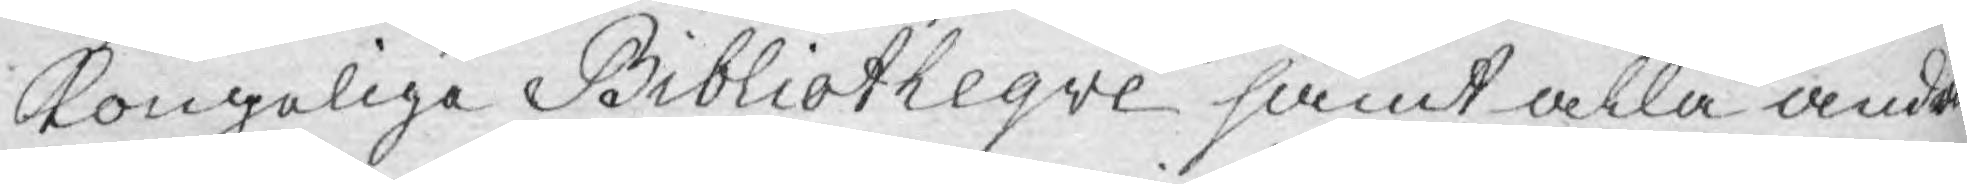Kongeliga Bibliotheqve samt alla andra
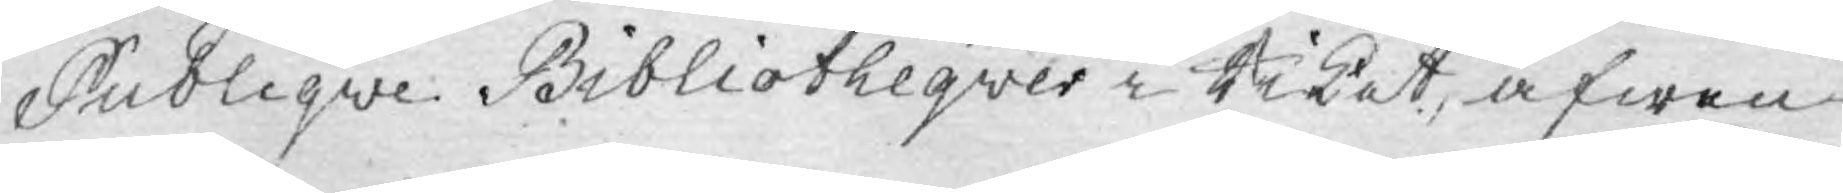Publiqve Bibliotheqver i Riket, äfwen
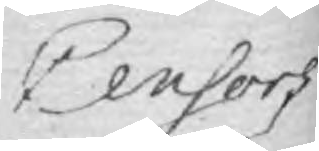Censors
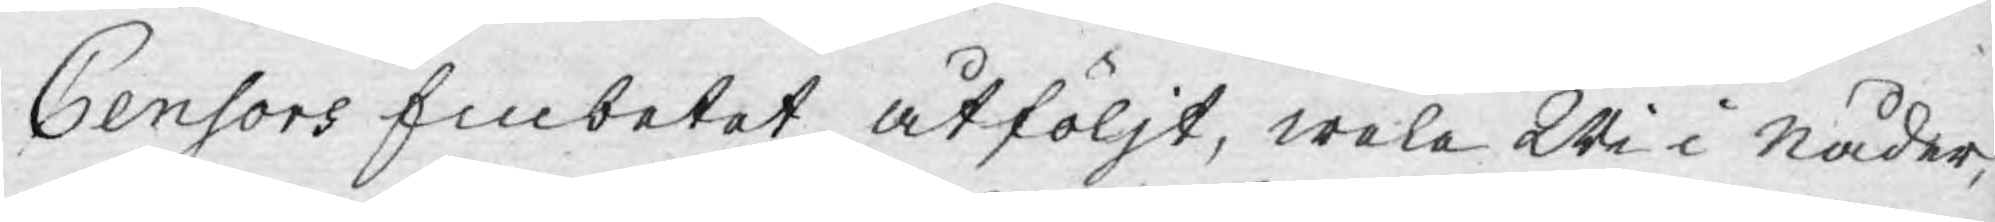Censors Embetet åtföljt, wela Wi i Nåder
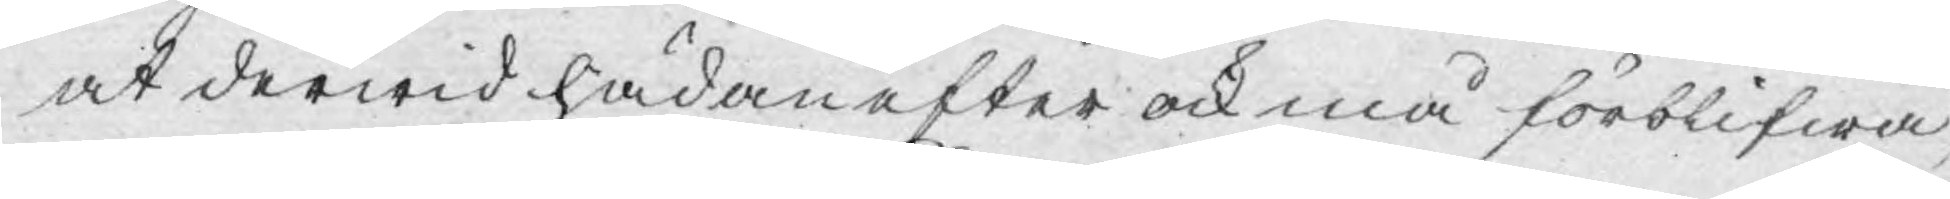at derwid hädanefter ock må förblifwa,
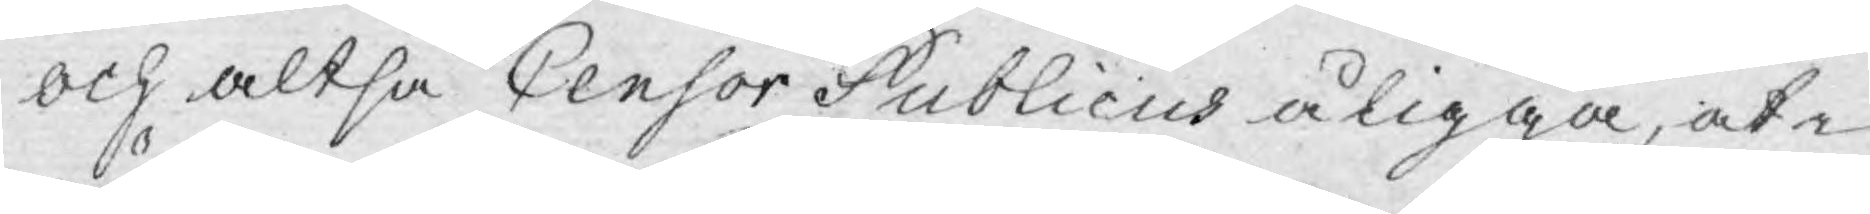och altså Censor Publicus åligga, at i
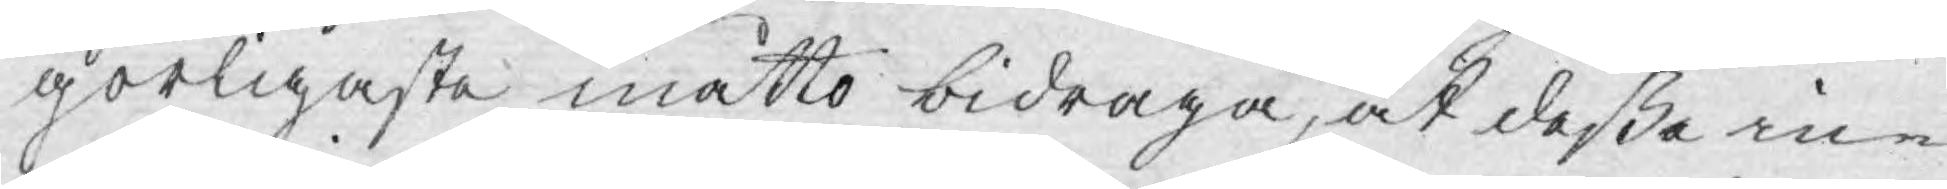görligaste måtto bidraga, at deßa in¬
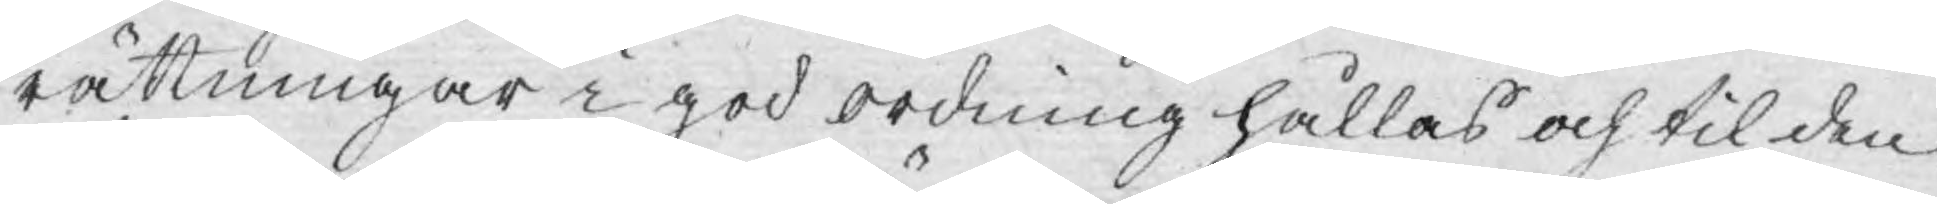rättningar i god ordning hållas och til den
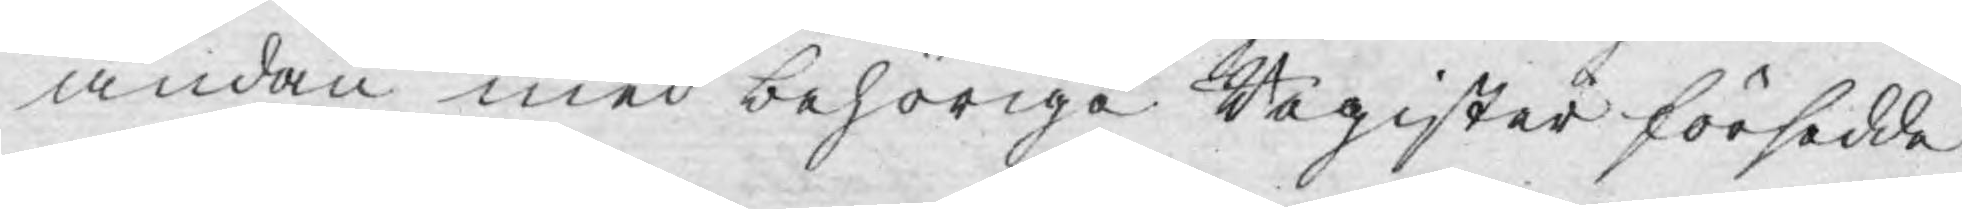ändan med behörige Register försedde
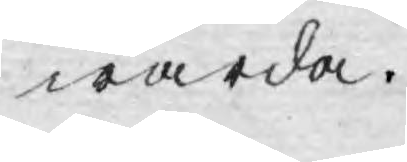warda.
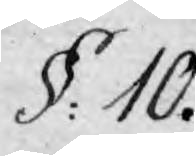§: 10.
